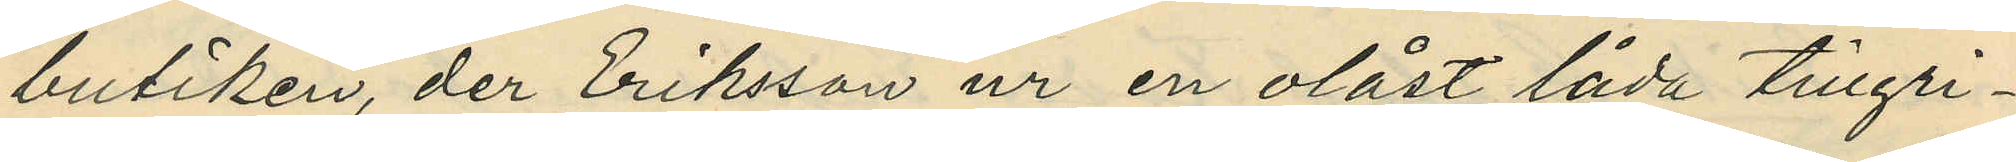butiken, der Eriksson ur en olåst låda tillgri¬
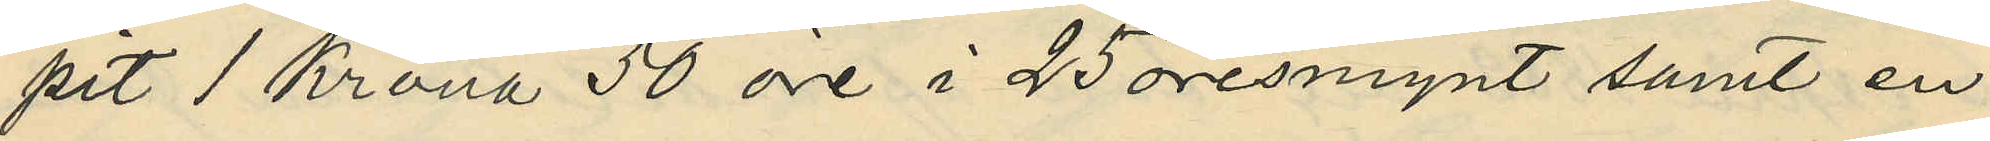pit 1 Krona 50 öre i 25 öresmynt samt en
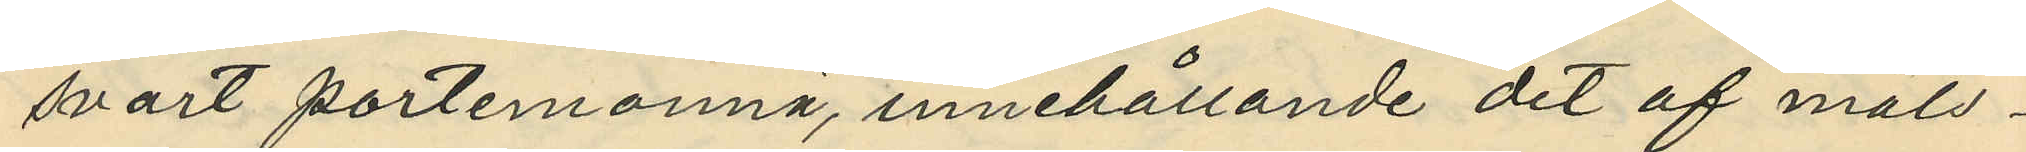svart portmonnä, innehållande det af måls¬
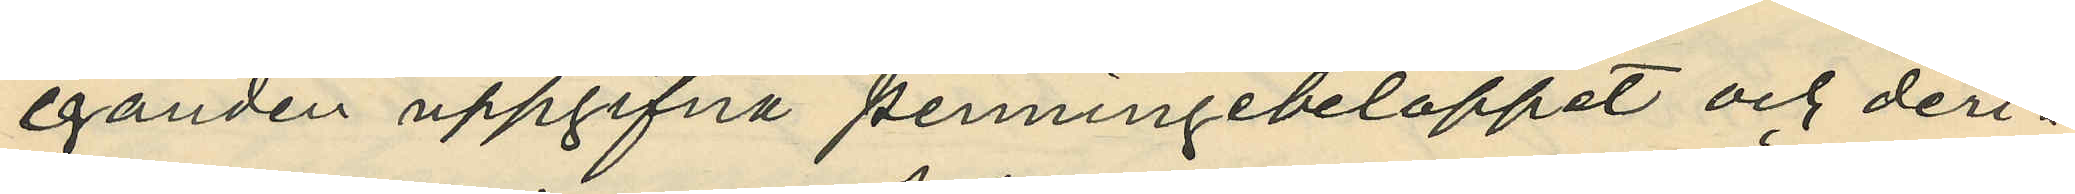eganden uppgifna penningebeloppet och deri¬
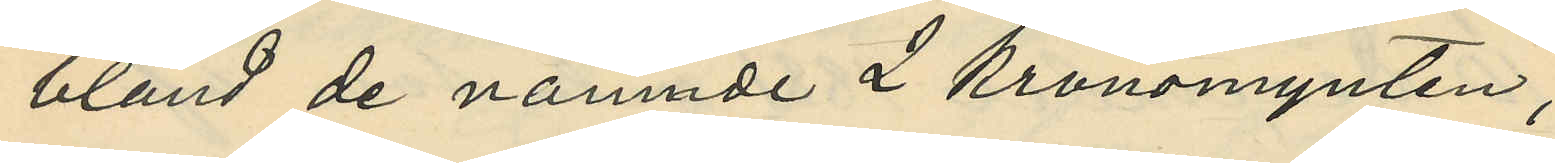bland de nämnde 2 Kronomynten,
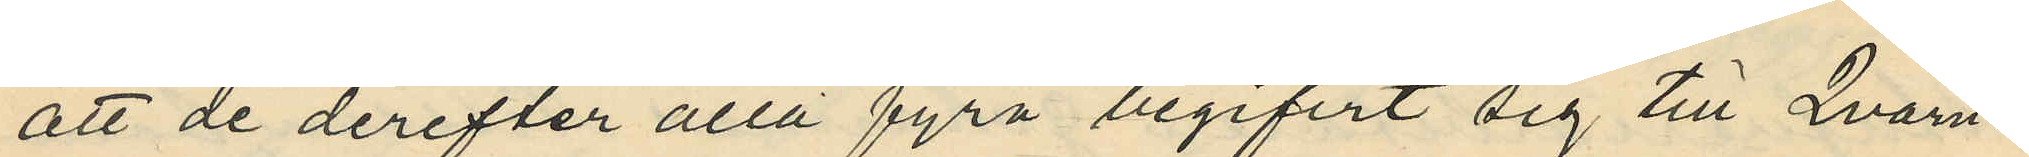att de derefter alla fyra begifvit sig till Qvarn¬
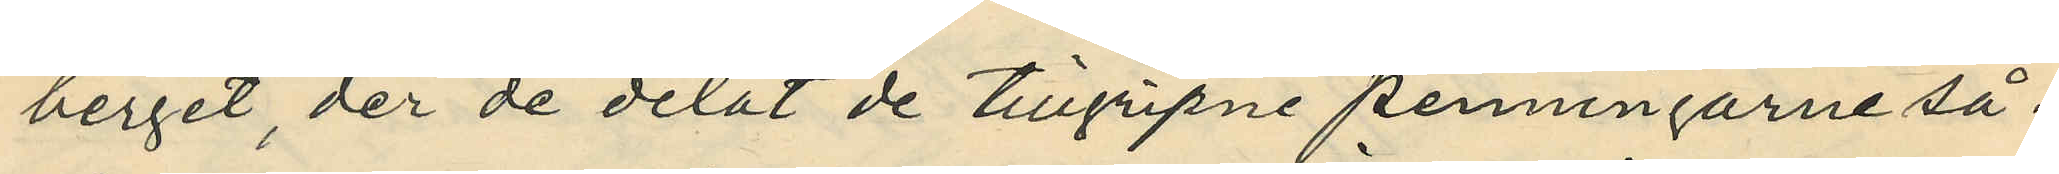berget, der de delat de tillgripne penningarne så¬
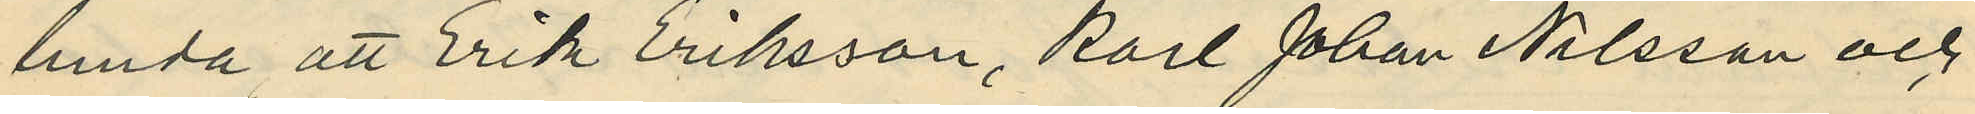lunda att Erik Eriksson, Karl Johan Nilsson och
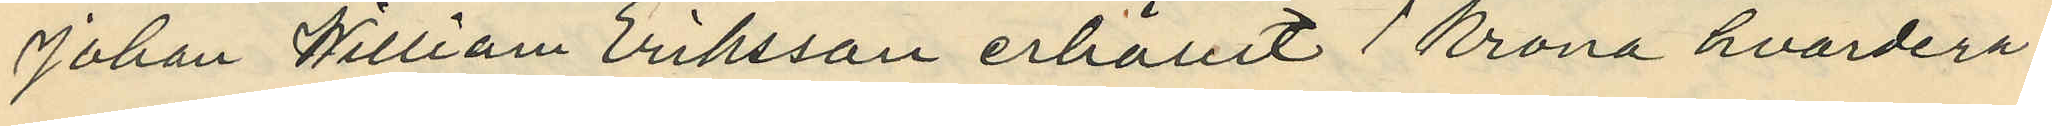Johan William Eriksson erhållit 1 krona hvardera
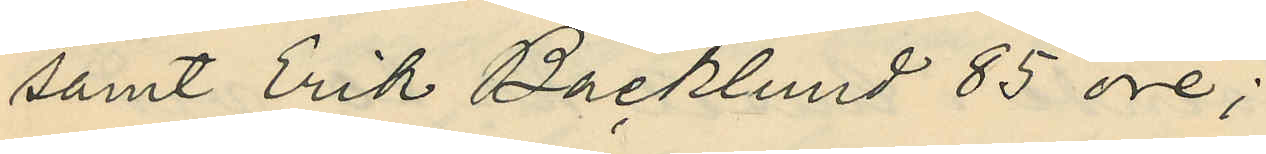samt Erik Backlund 85 öre;
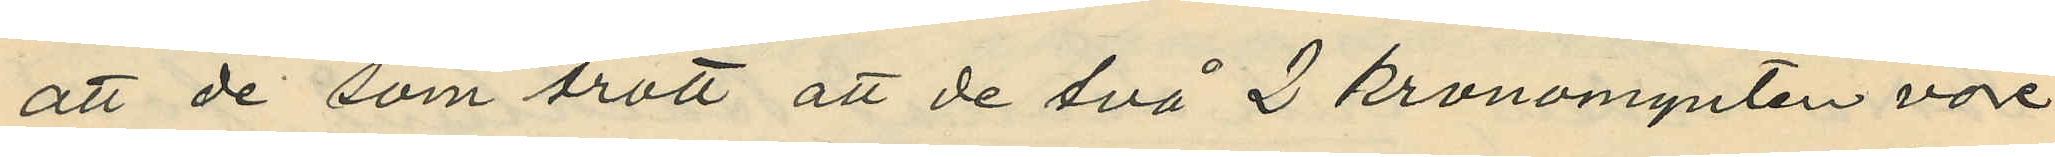att de som trott att de två 2 kronomynten vore
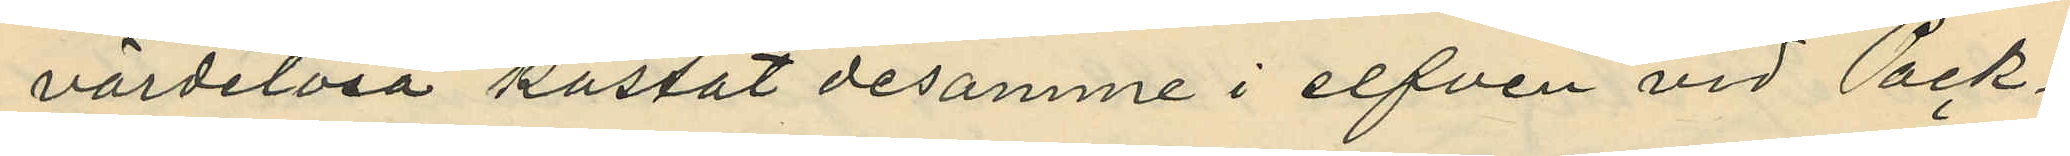värdelösa kastat desamme i elfven vid Pack¬
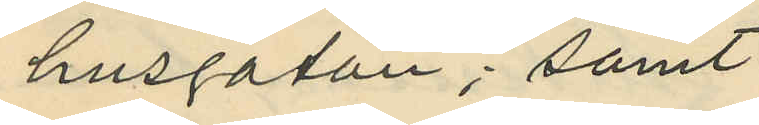husgatan; samt
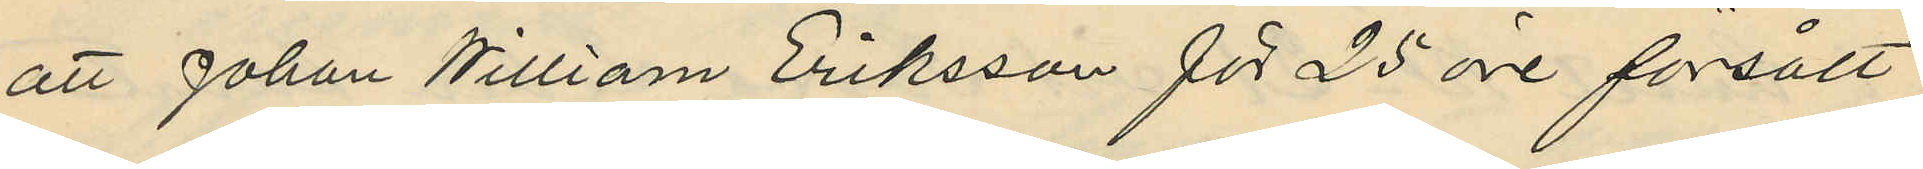att Johan William Eriksson för 25 öre försålt
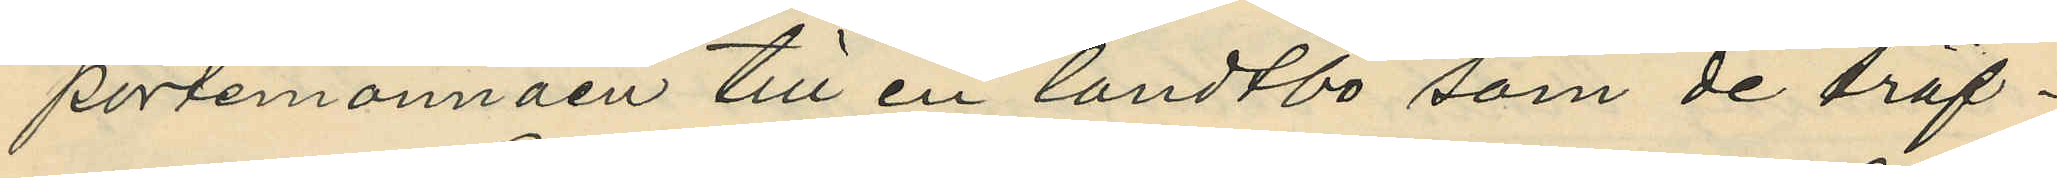portemonnäen till en landtbo som de träf¬
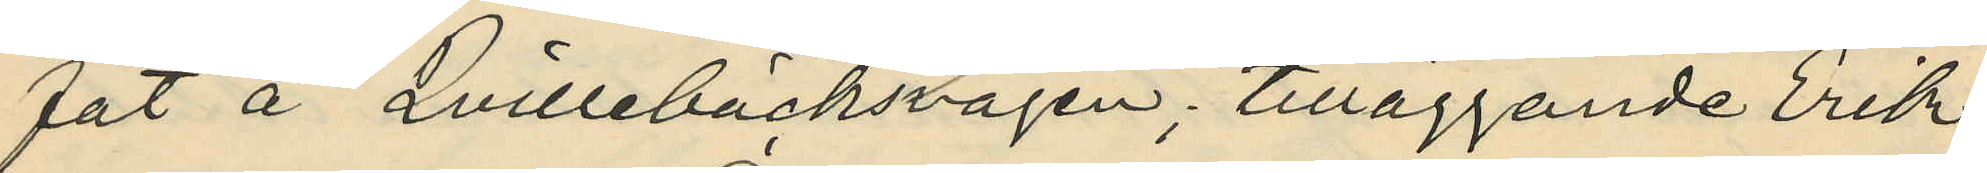fat å Quillebäcksvägen; tilläggande Erik
